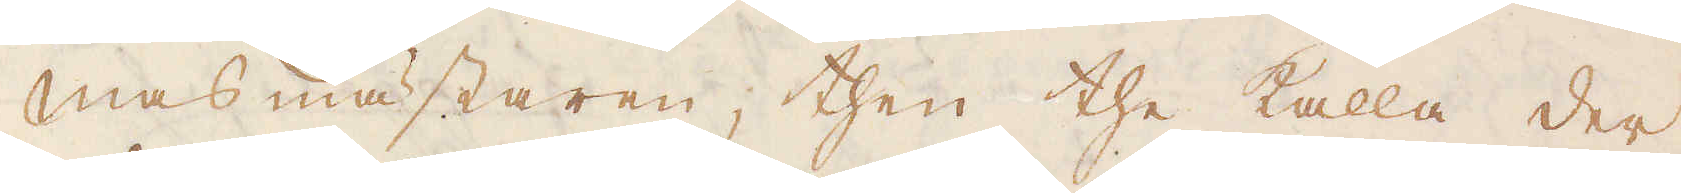Masmästaren, then the kalla der
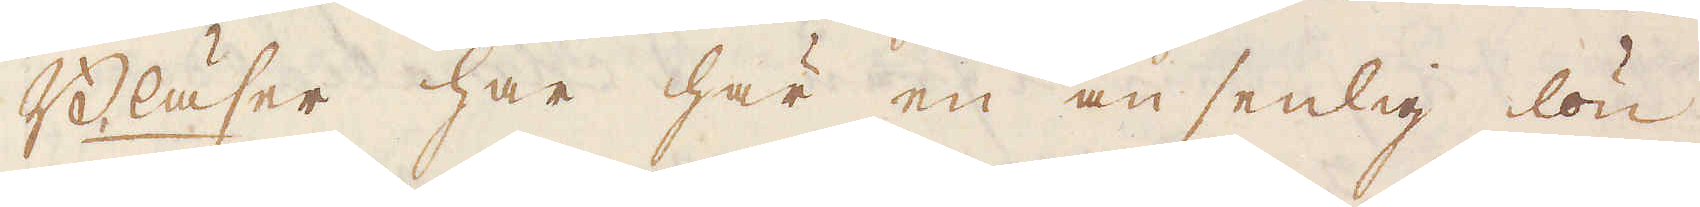Bläser har här en ansenlig lön
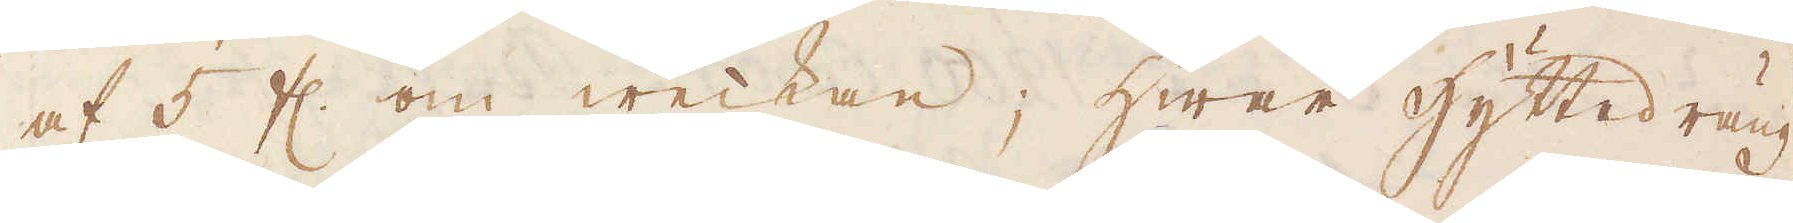af 5 fl. om weckan; hwar hyttedräng
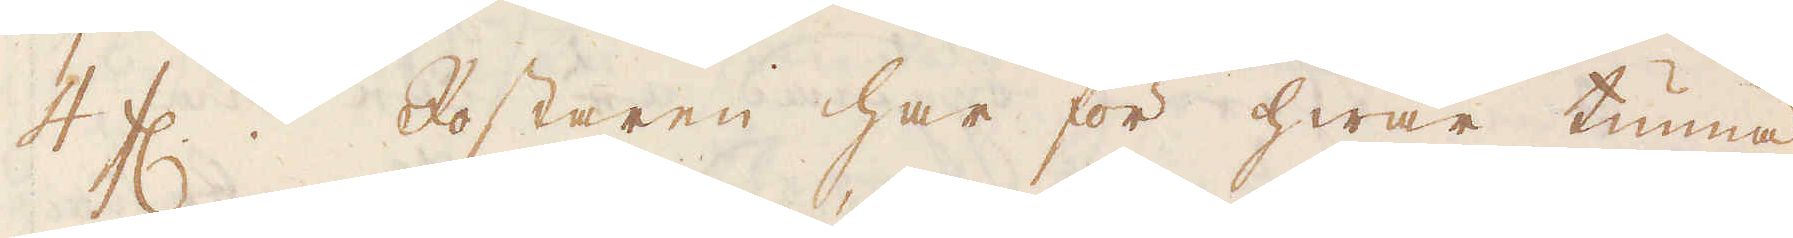4 fl. Rostaren har för hwar tunna
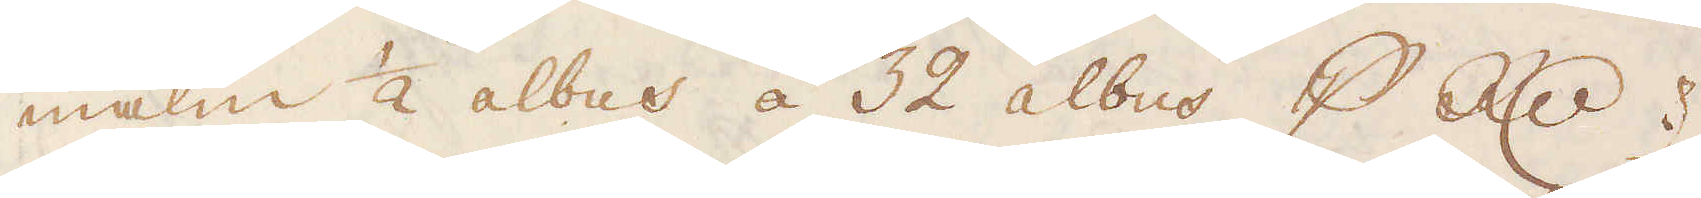malm 1/2 albus á 32 albus p R:dr.
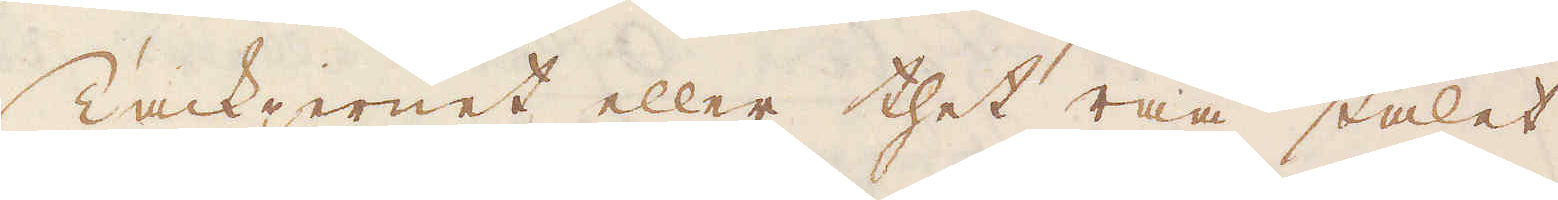Tackjernet eller thet råa stålet
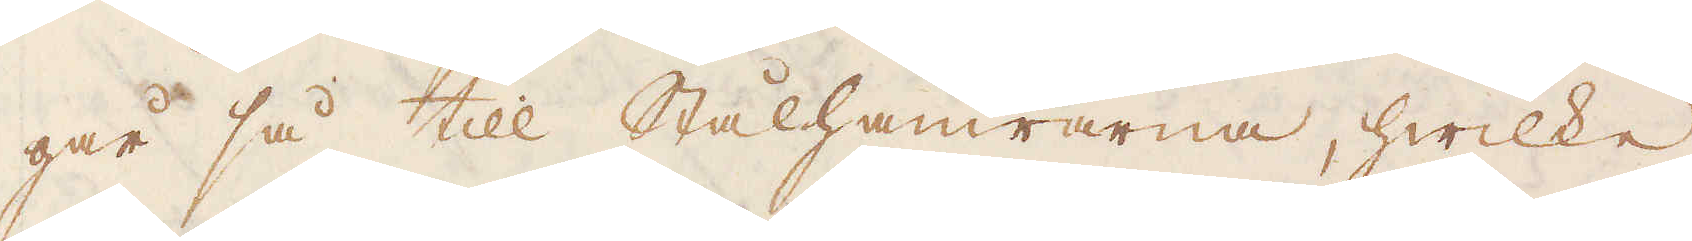går så till Stålhammrarna, hwilke
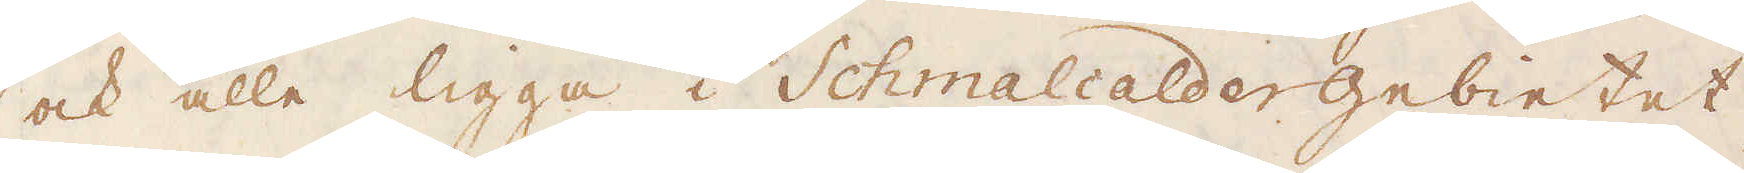ock alle ligga i Schmalcaldergebintet,
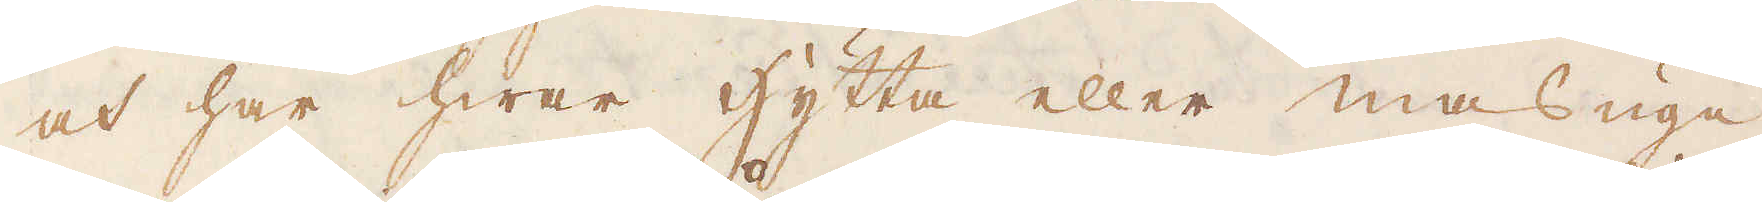och har hwar hytta eller masugn
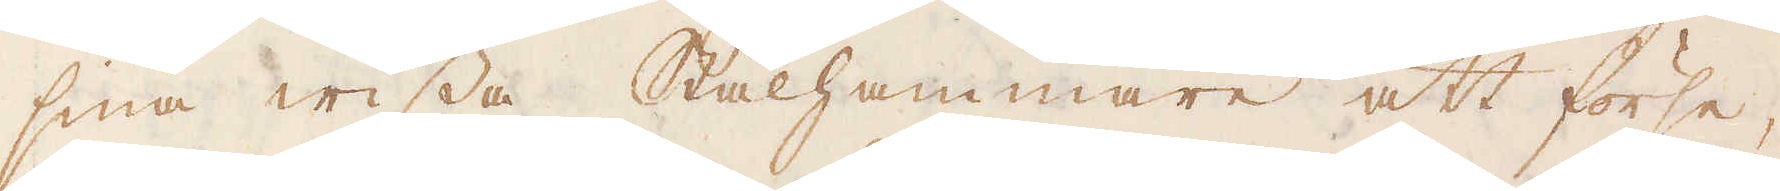sina wissa Stålhammare att förse,
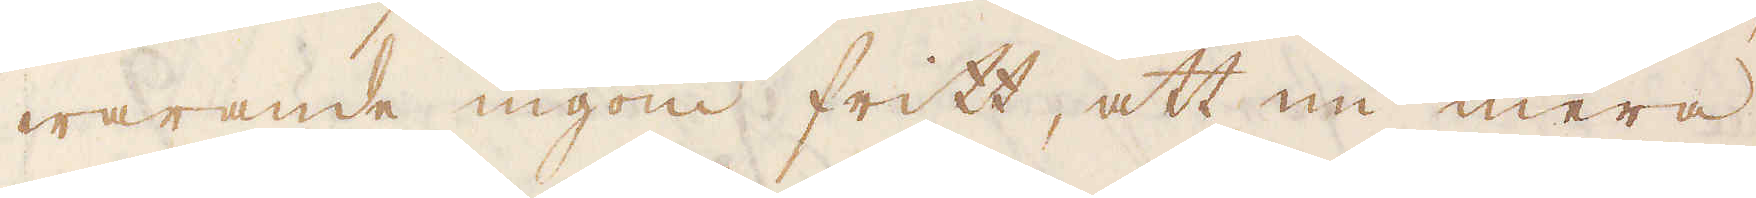warande ingom fritt, att nu mera
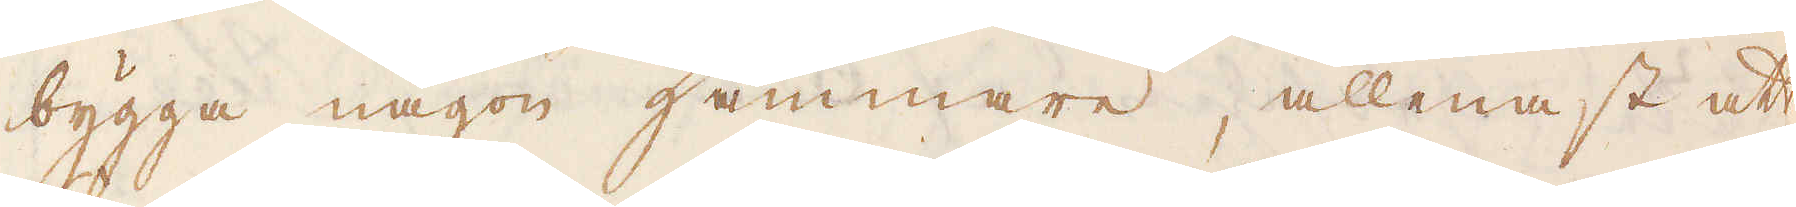bygga någon hammare, allenast att
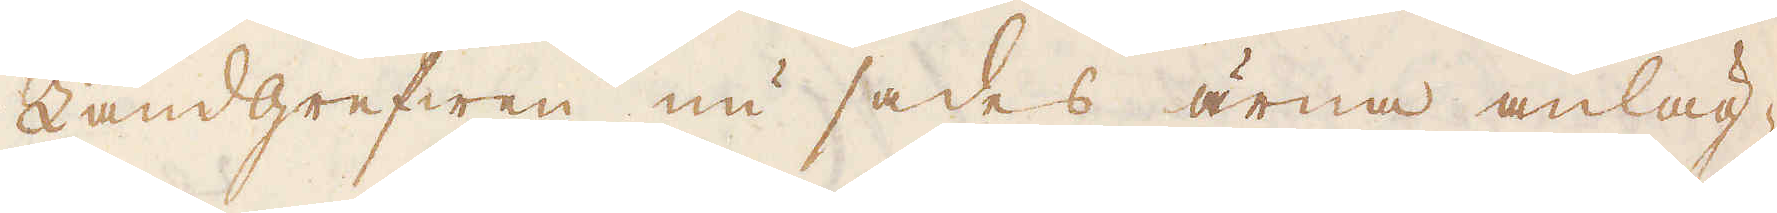Landgrefwen nu sades ärna anläg-
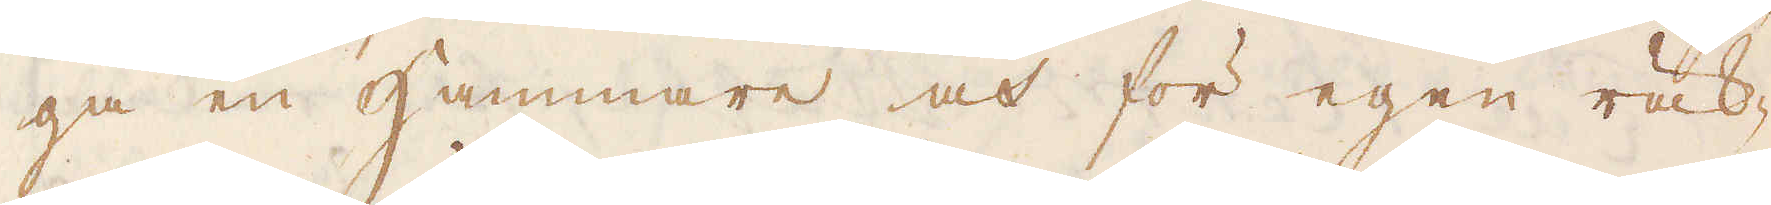ga en Hammare och för egen räk-
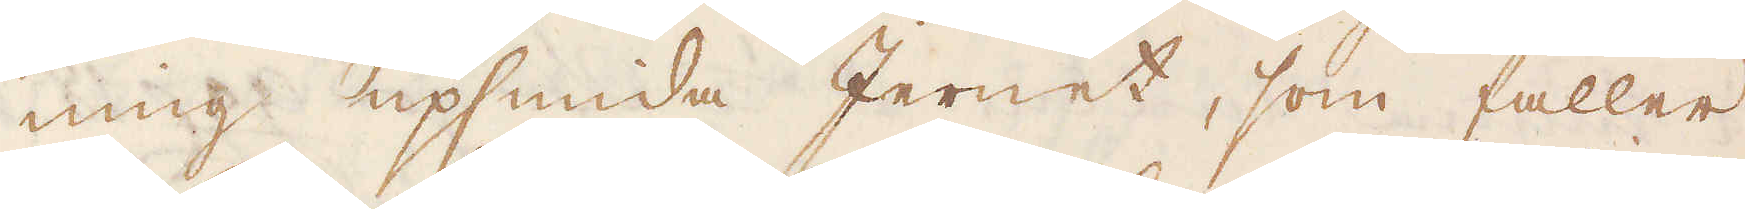ning upsmida Jernet, som faller
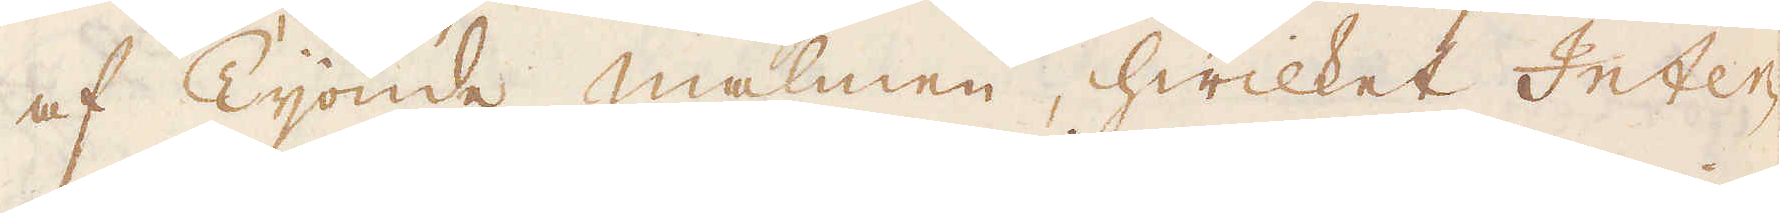af Tijonde malmen, hwilket Inter-
